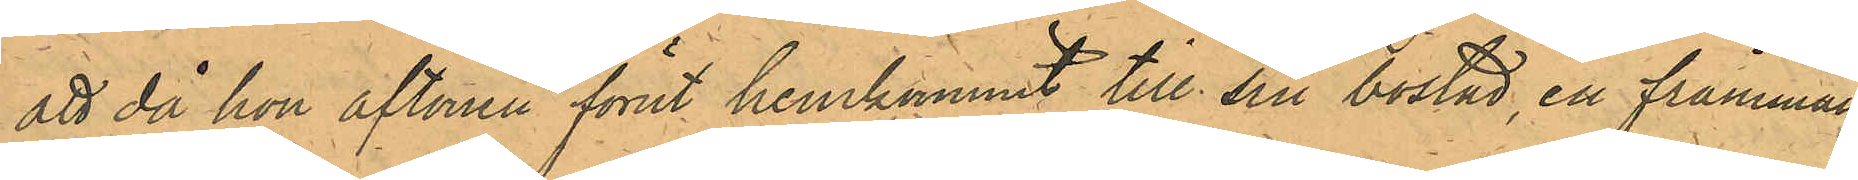att då hon aftonen förut hemkommit till sin bostad, en främman¬
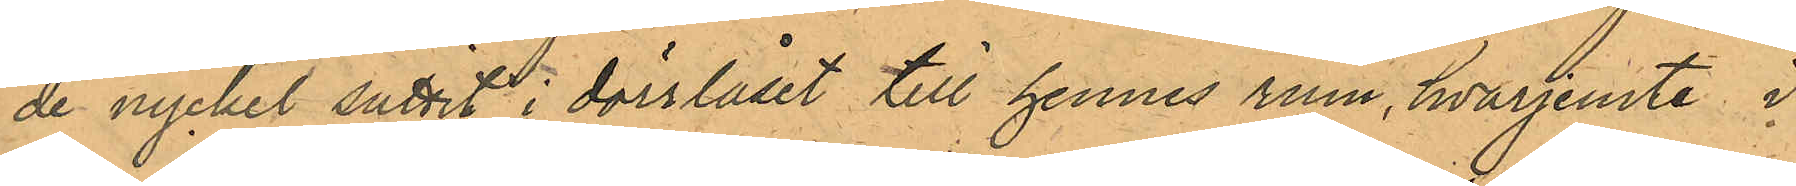de nyckel suttet i dörrlåset till hennes rum, hvarjemte i
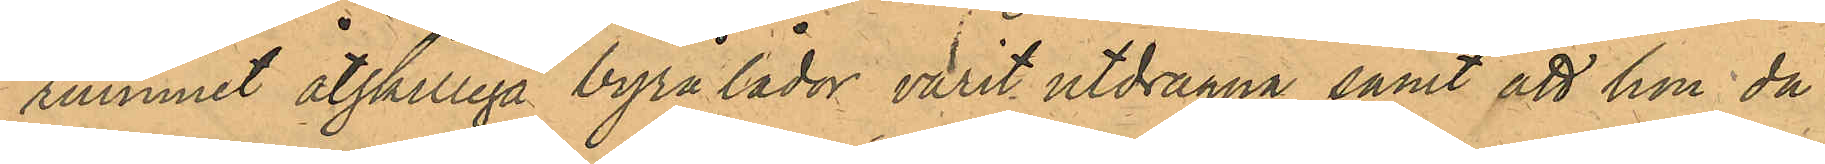rummet åtskilliga byrålådor varit utdragna samt att hon då
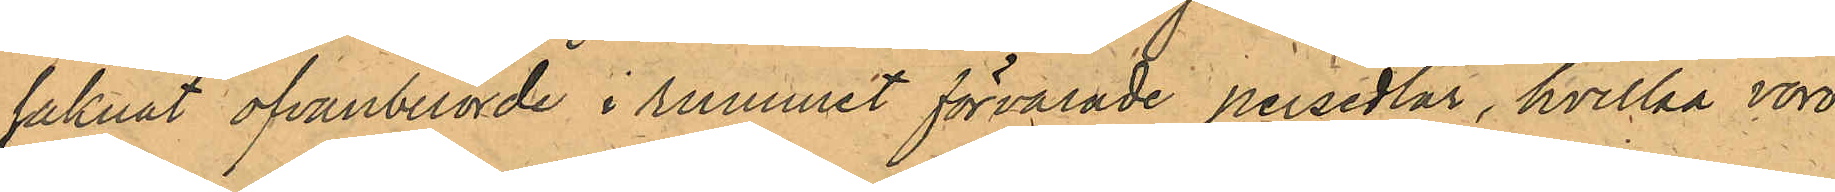saknat ofvanberörde i rummet förvarade persedlar, hvilka voro
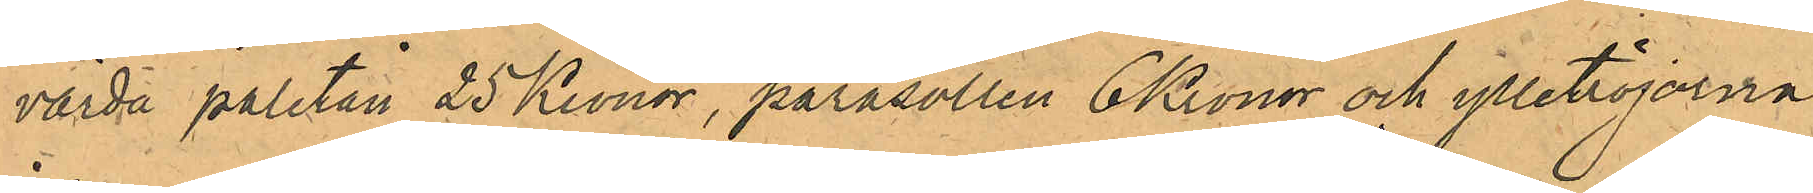värda paletån 25 Kronor, parasollen 6 Kronor och ylletröjorna
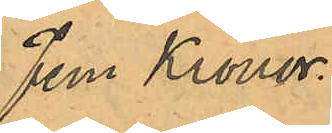Fem Kronor.
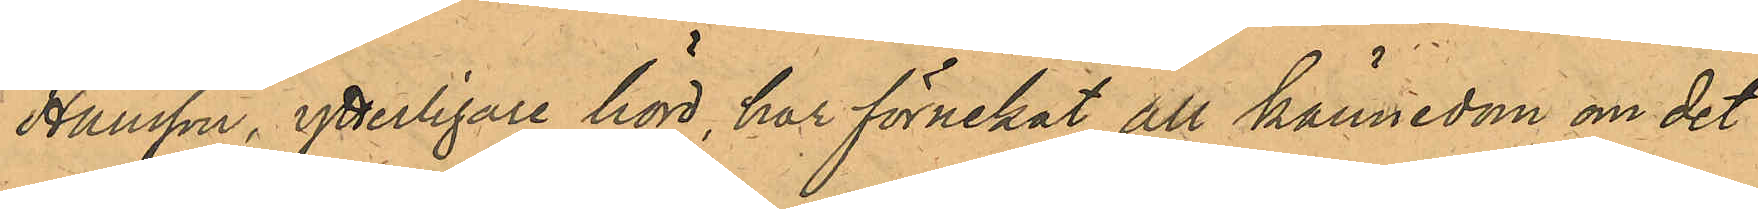Hansson, ytterligare hörd, har förnekat all kännedom om det
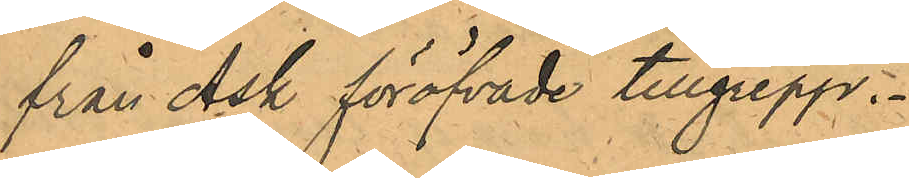från Ask föröfvade tillgrepp.
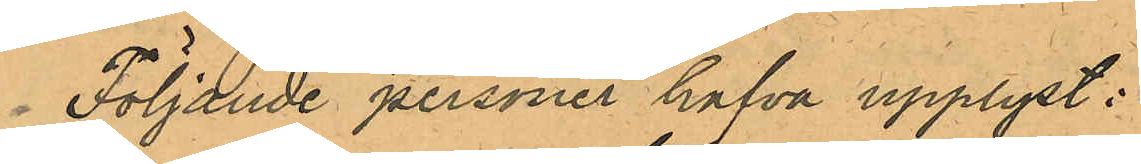Följande personer hafva upplyst:
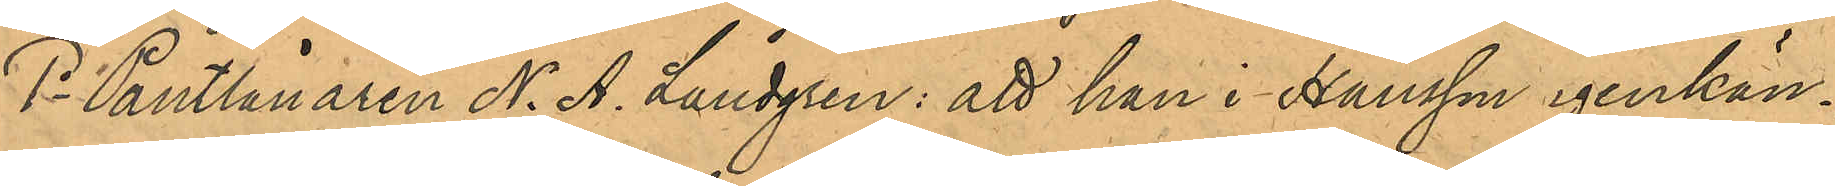1o Pantlånaren N. A. Landgren: att han i Hansson igenkän¬
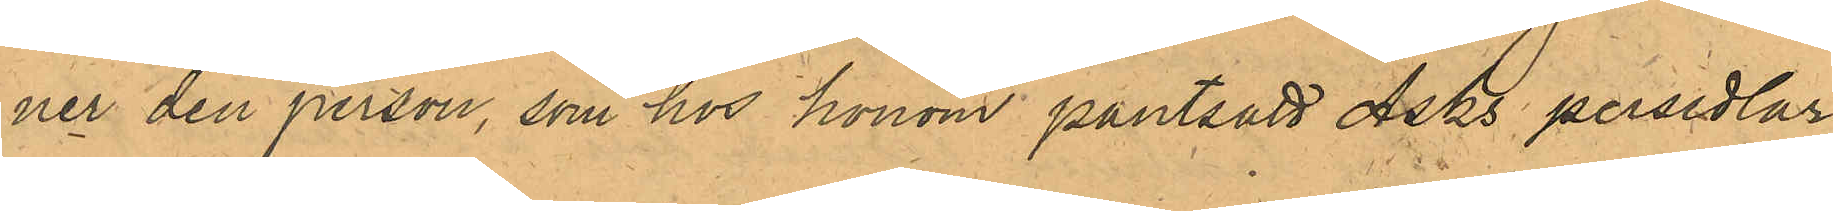ner den person, som hos honom pantsatt Asks persedlar;
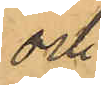och
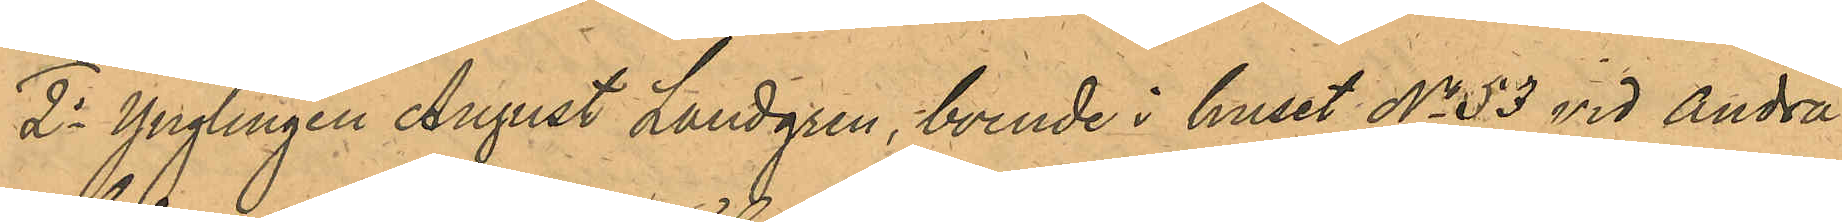2o Ynglingen August Landgren, boende i huset No 53 vid Andra
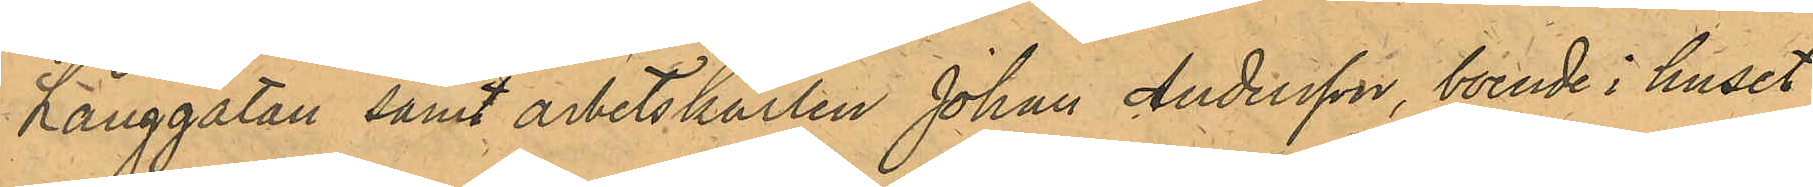Långgatan samt arbetskarlen Johan Andersson, boende i huset
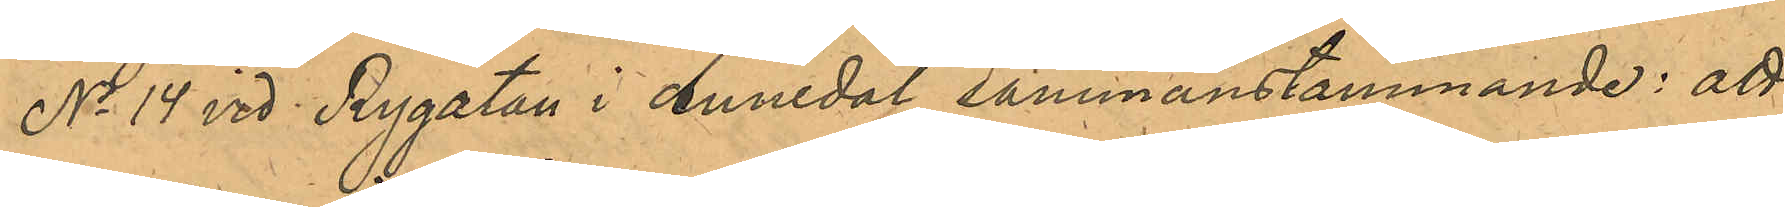No 14 vid Rygatan i Annedal sammanstämmande: att
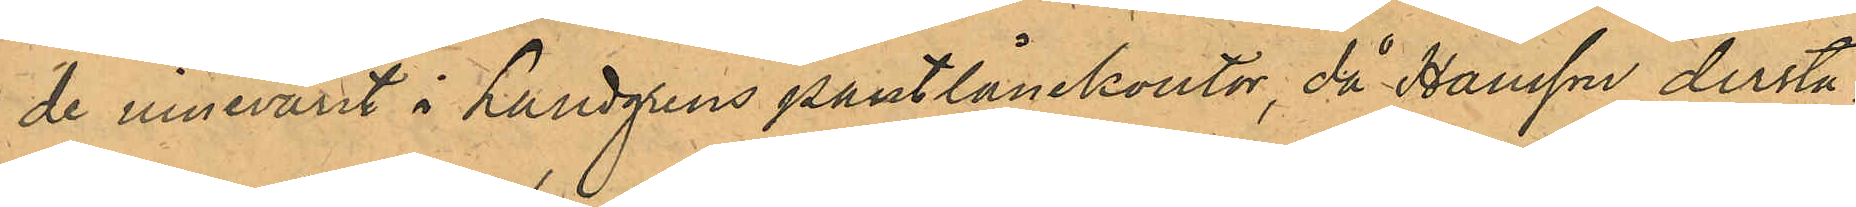de innevarit i Landgrens pantlånekontor, då Hansson derstä¬
